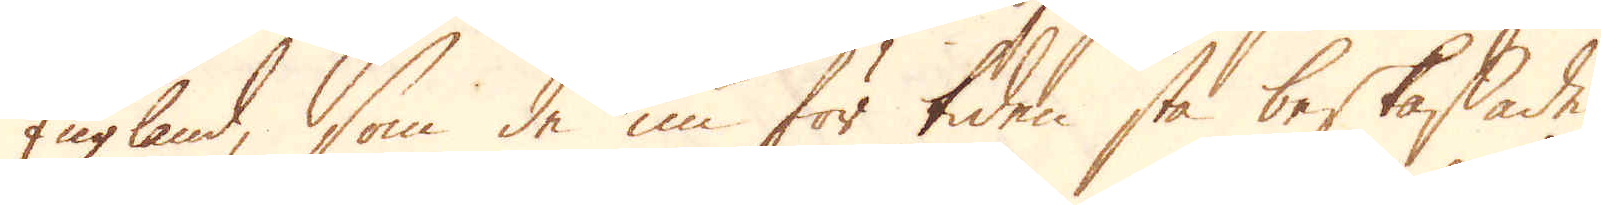England, som de nu för tiden stå beskaffade,
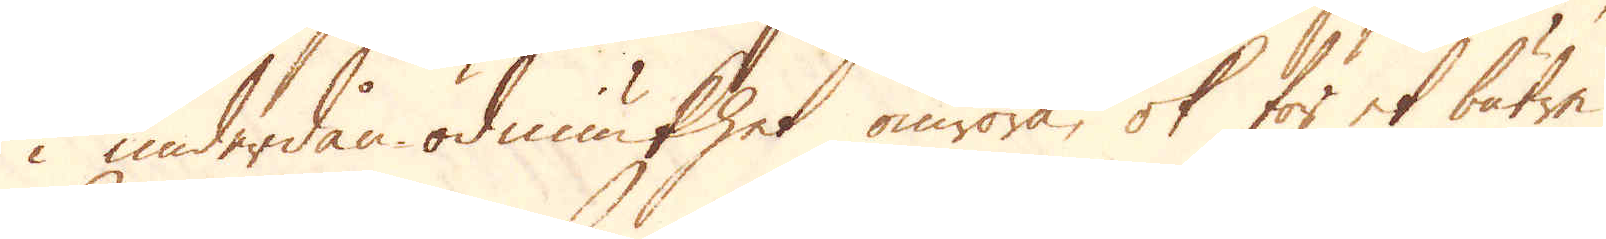i underdån-ödmiukhet omröra, ok för et bätre
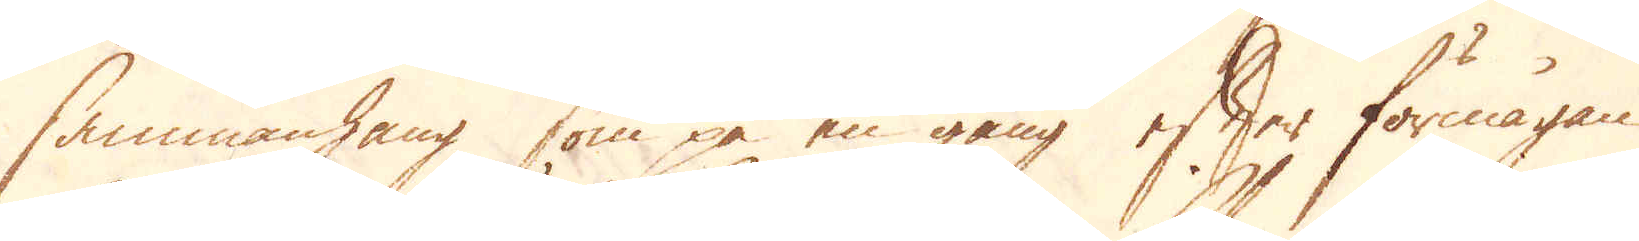sammanhang som på en gång efter förmågan
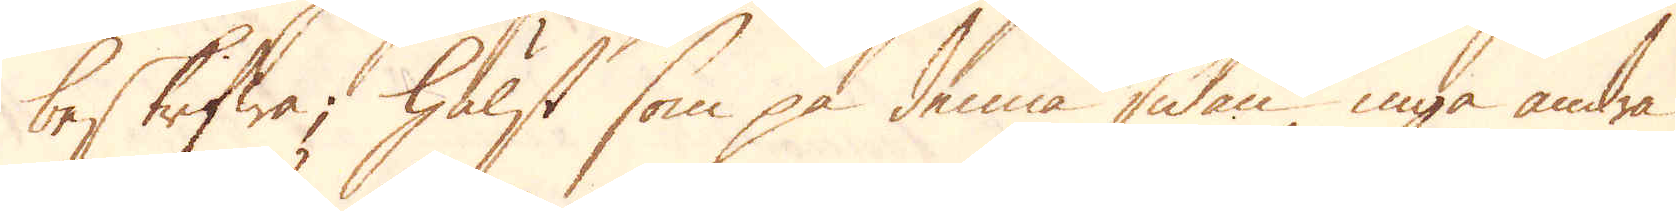beskrifwa; Hälst som på denna sidan inga andra
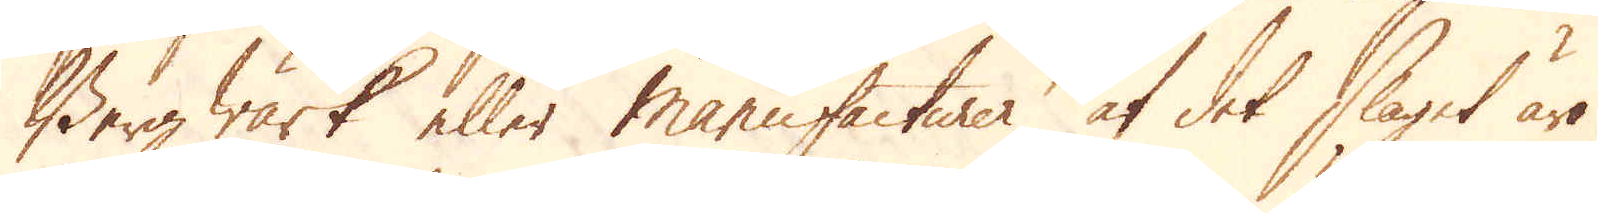Berg Wärk eller Manufacturer af det slaget äro
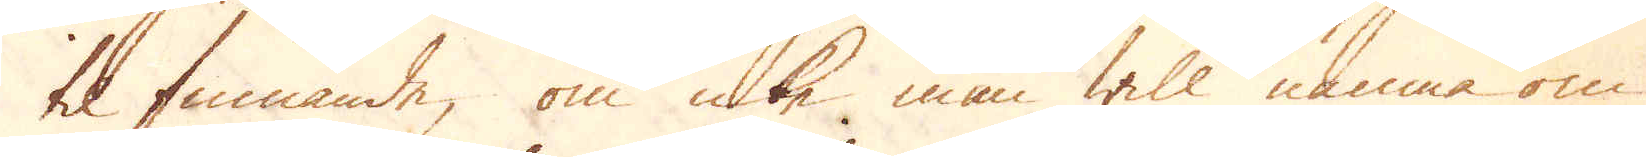til finnande, om icke man will nämna om
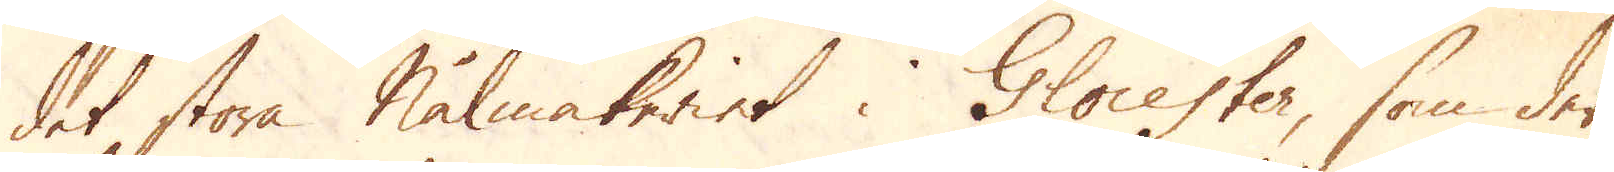det stora Nålmakeriet i Glocester, som der
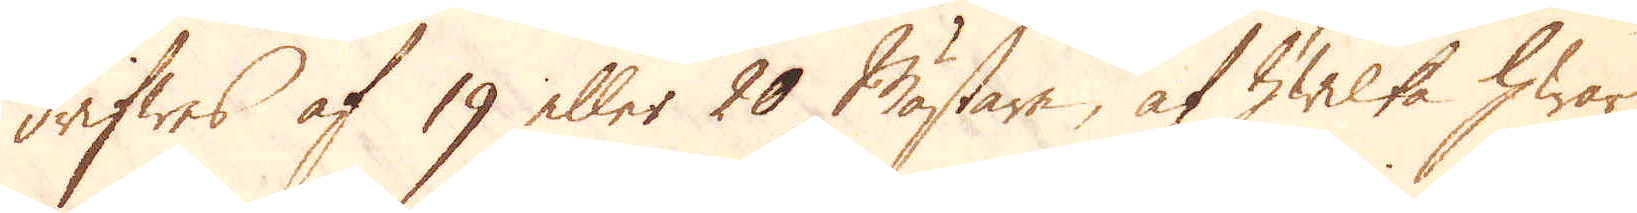drifwes af 19 eller 20 Mästare, af hwilka hwar
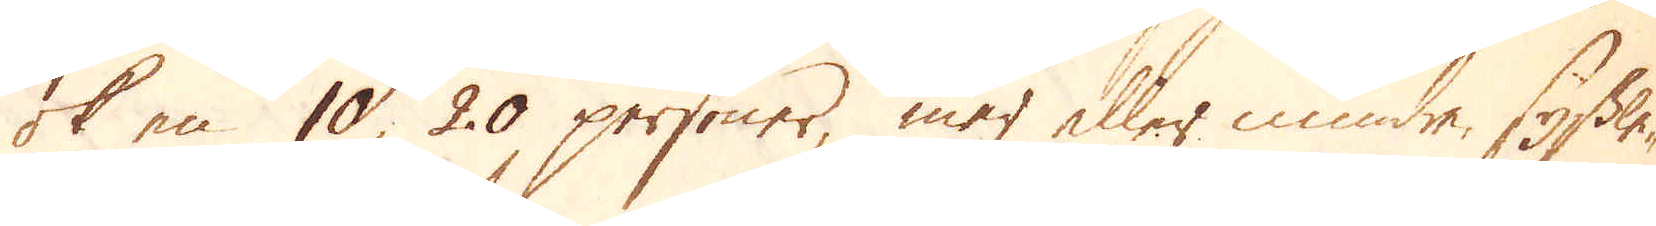ok en 10, 20 personer, mer eller mindre, syssle-
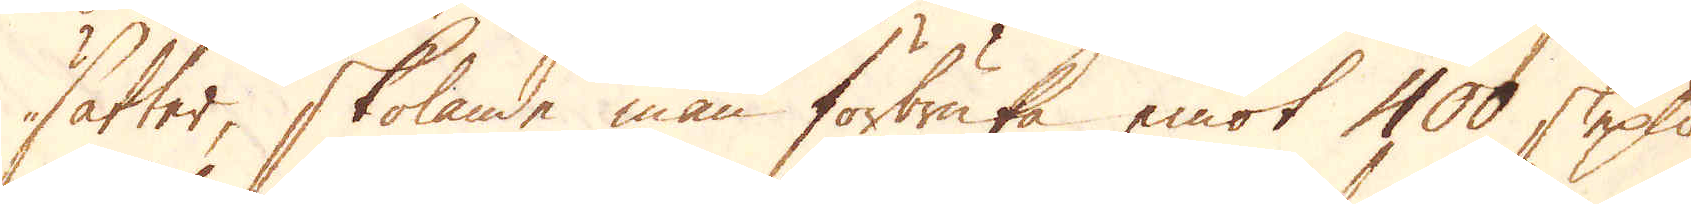sätter, skolande man förbruka emot 400 skeppund
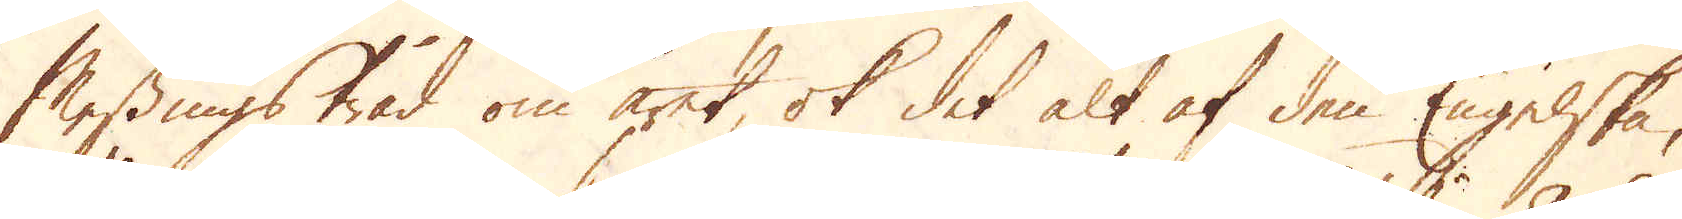Messingstråd om året, ok det alt af den Engelska,
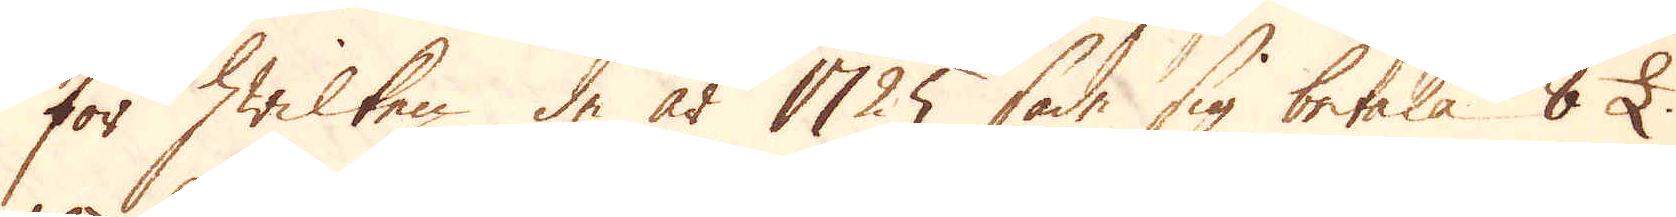för hwilken de år 1725 sade sig betala 8 £.
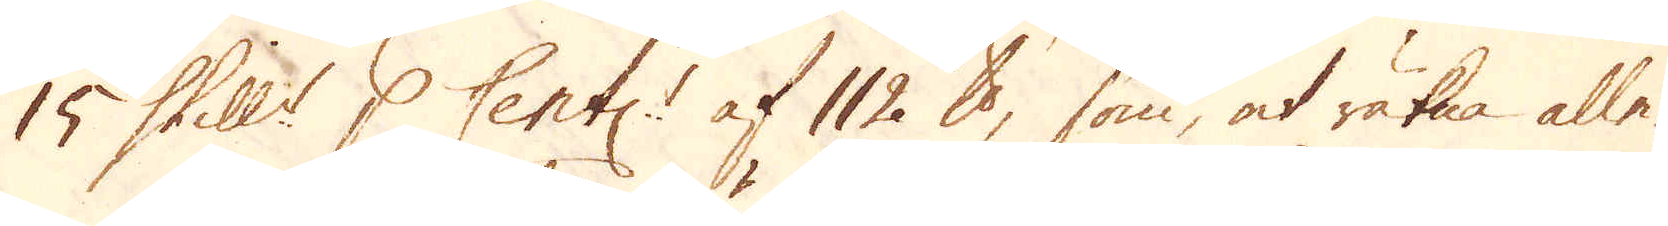15 Shill:r p Cent:r af 112 skålpund, som, at räkna alle-
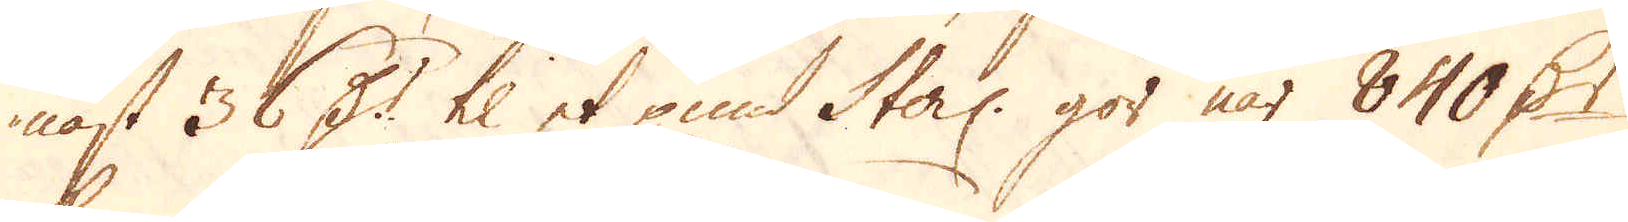nast 36 D:r til et pund Sterl: gör när 840 D:r
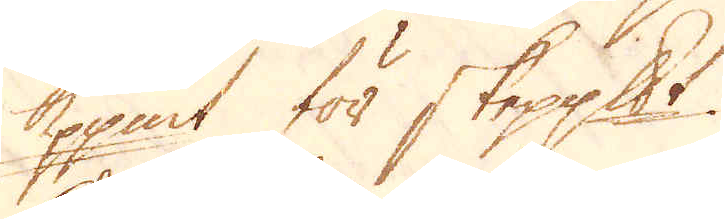Koppmt för skeppundet.
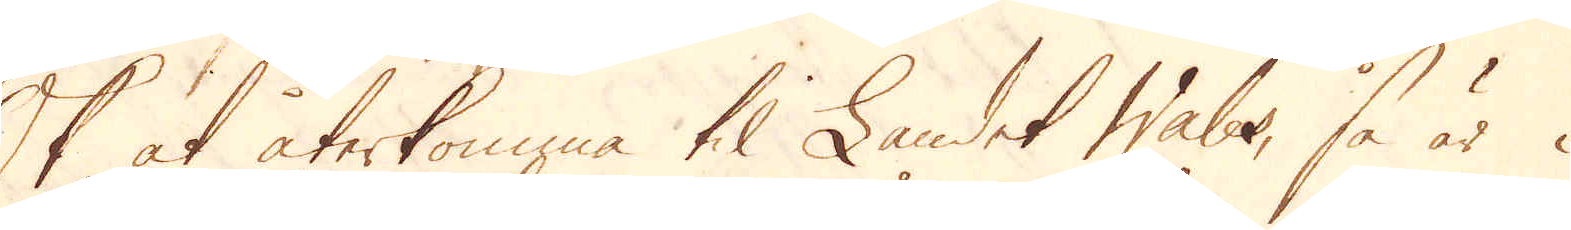Ok at återkomma til Landet Wales, så är i
